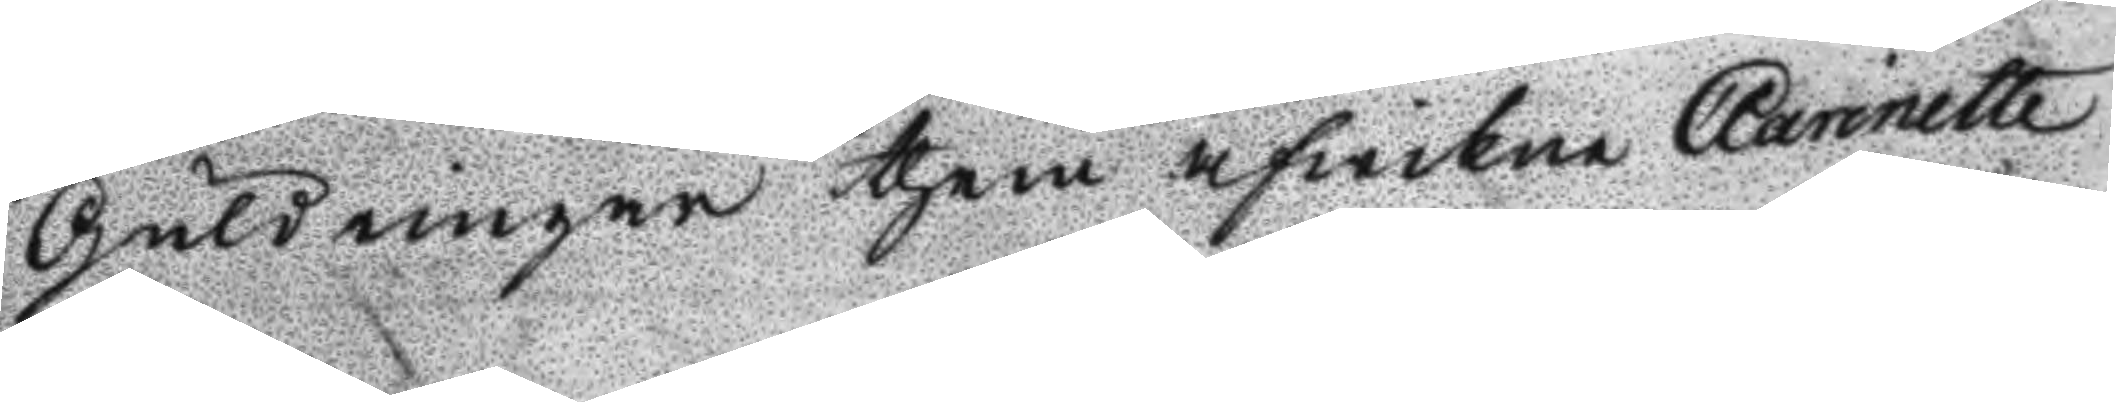Guldringar them afwikne Clarinette
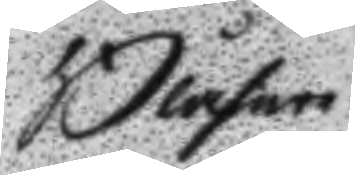Blåsar
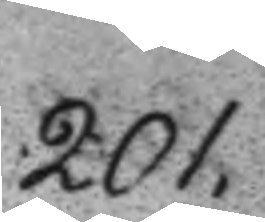201.
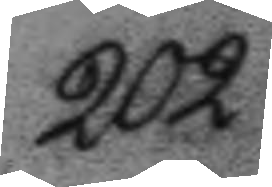202.
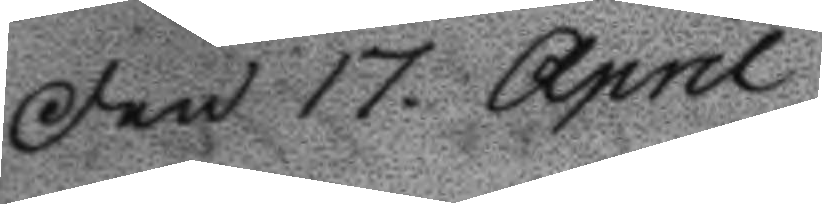Den 17. April
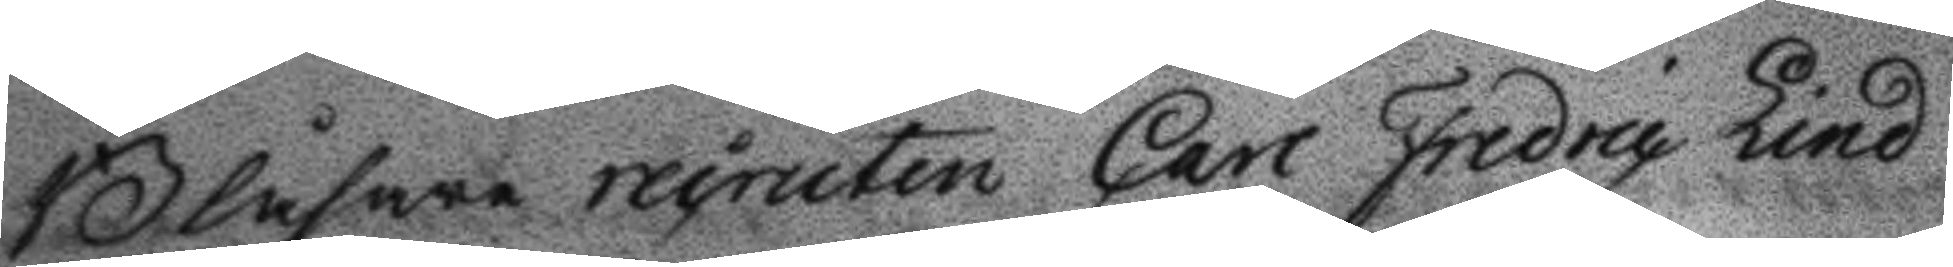Blåsare recruten carl Fredric Lind
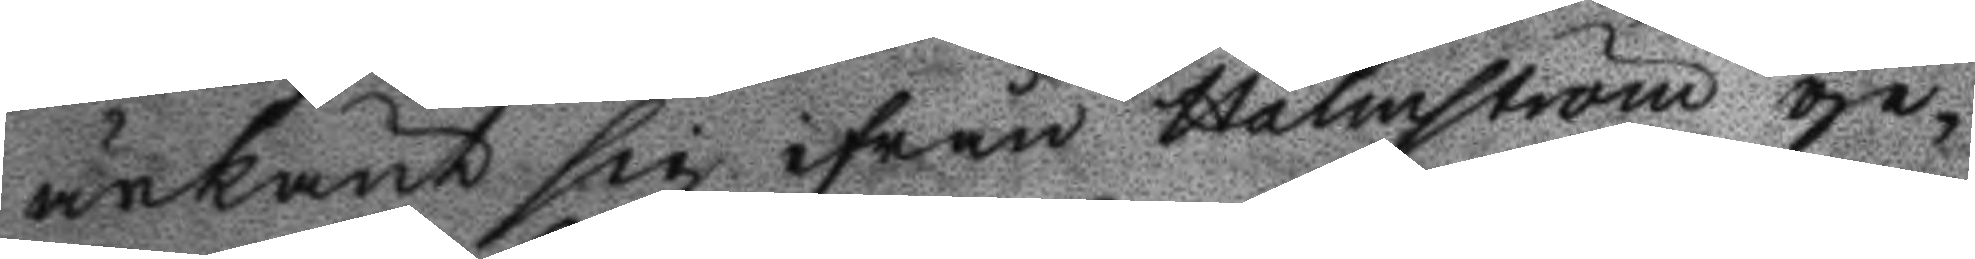ärkänt sig ifrån Holmström ge¬
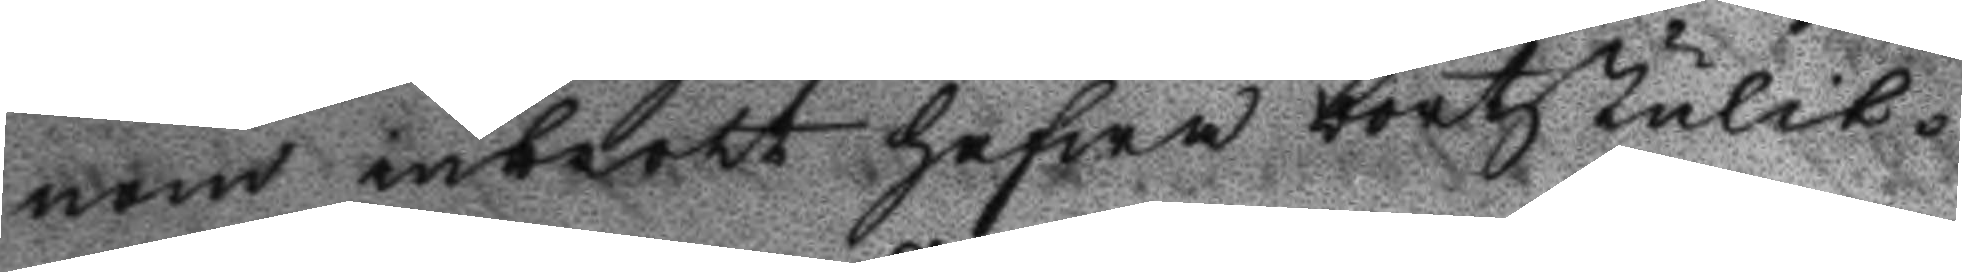nom inbrott hafwa bortstulit.
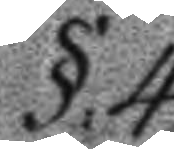§.4.
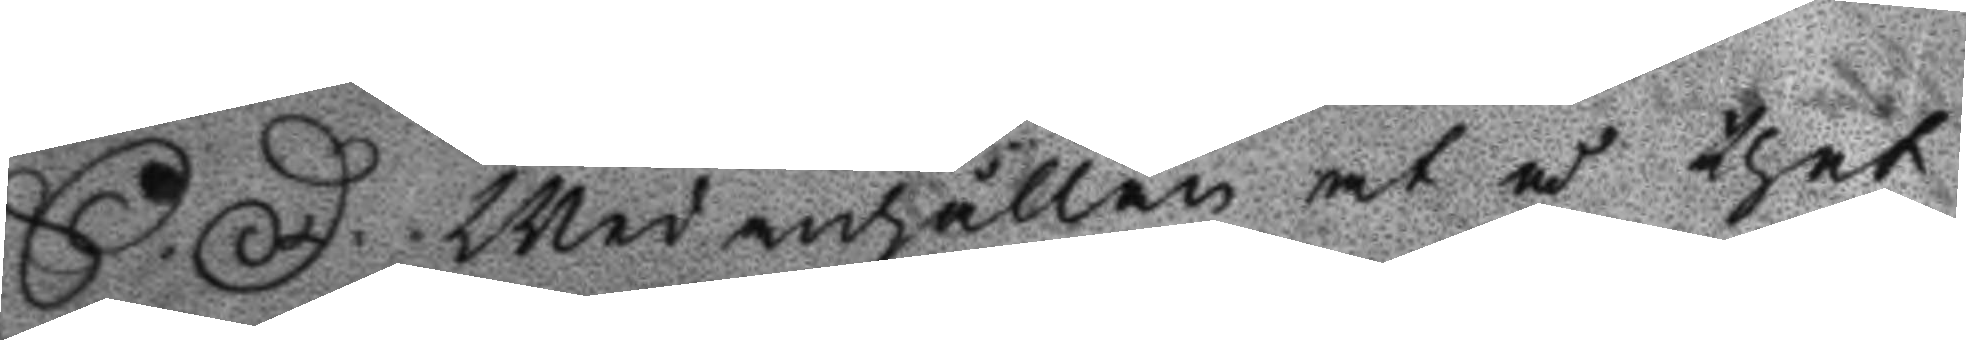S: D: Wed anhållan at å thet
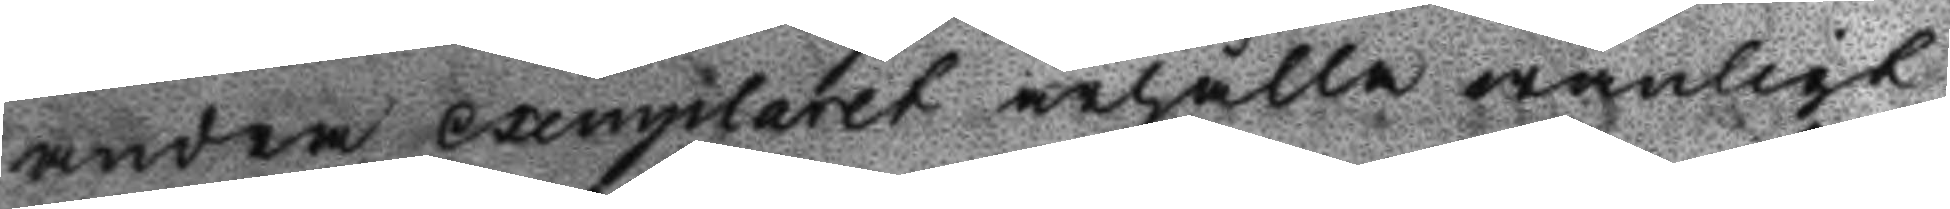andra exemplaret ärhålla wanligt
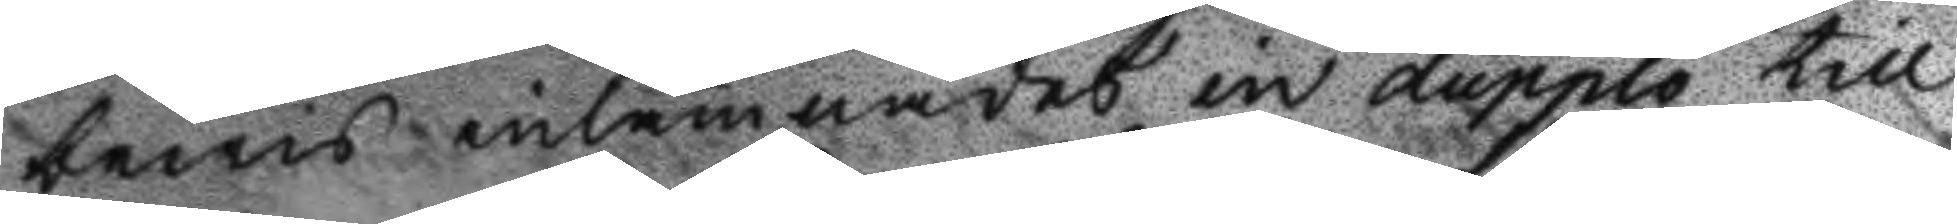bewis inlämnades en dupplo till
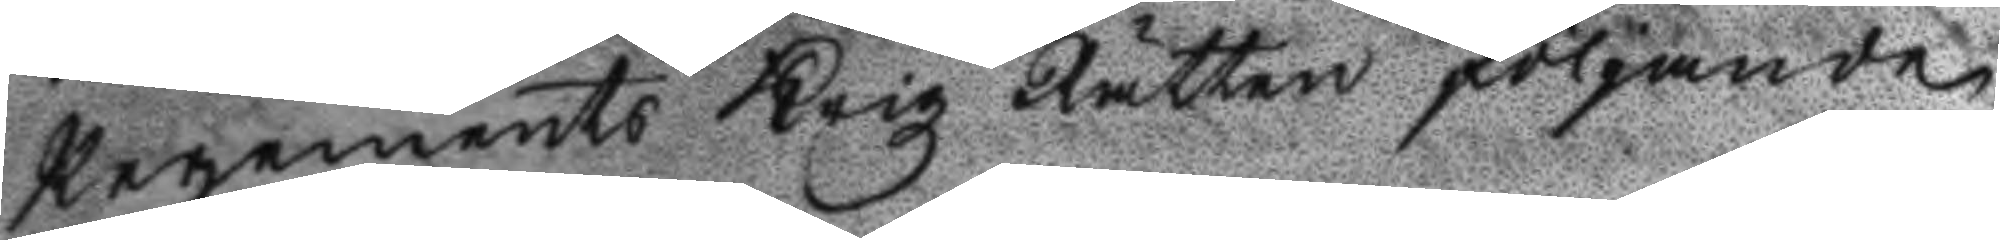Regements Krigz Rätten följande
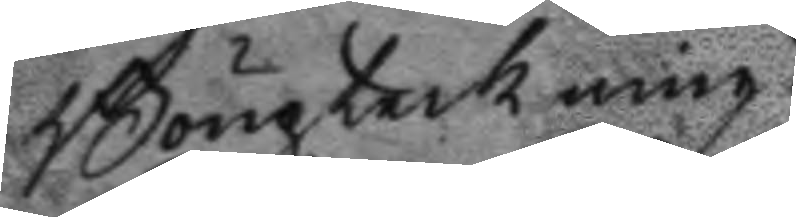Boupteckning:
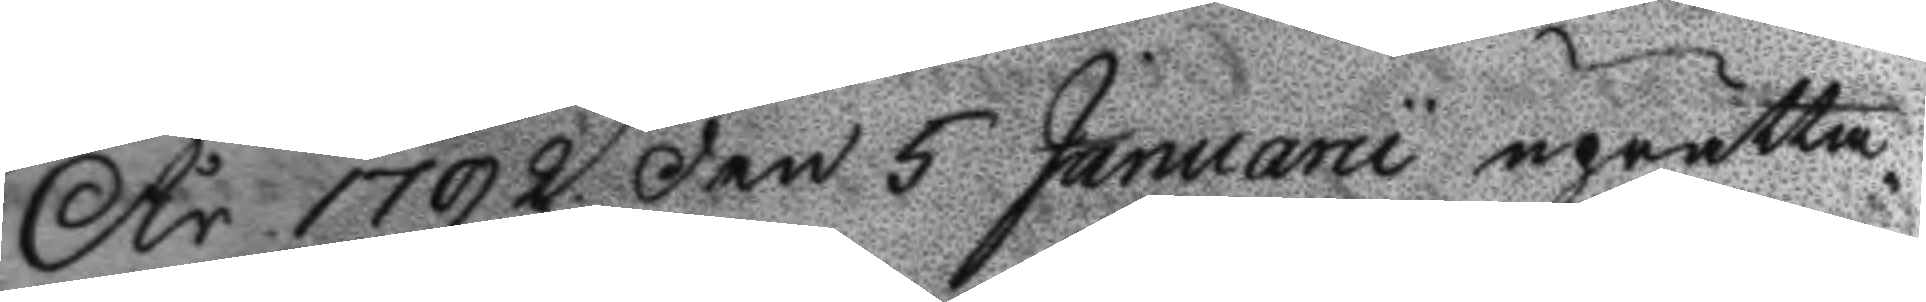År 1792 den 5 Januarii uprätta¬
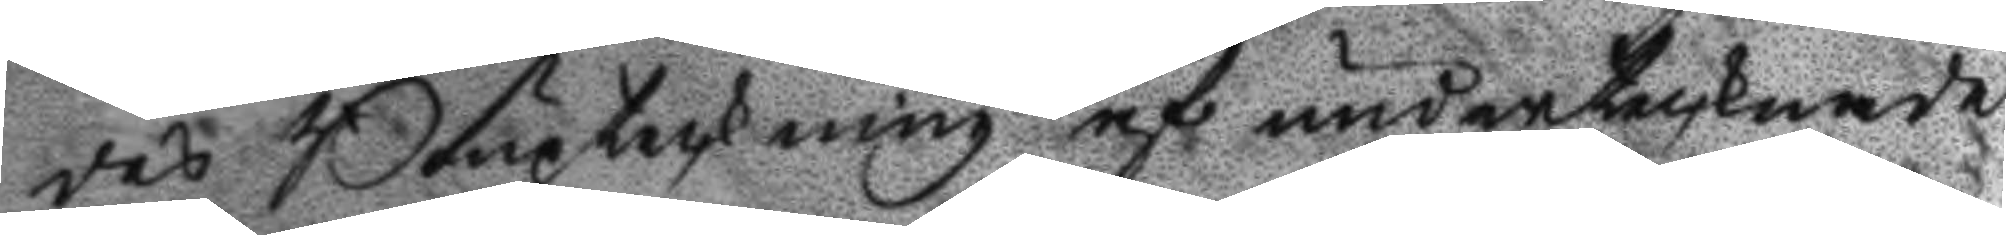des Boupteckning af undertecknade
